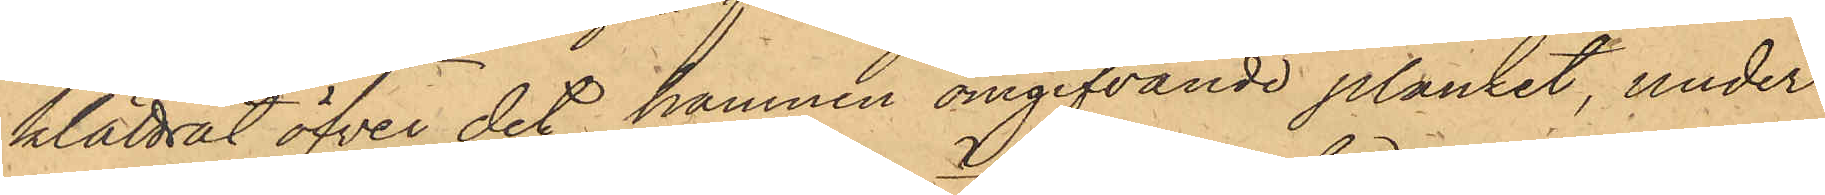klättrat öfver det hamnen omgifvande planket, under
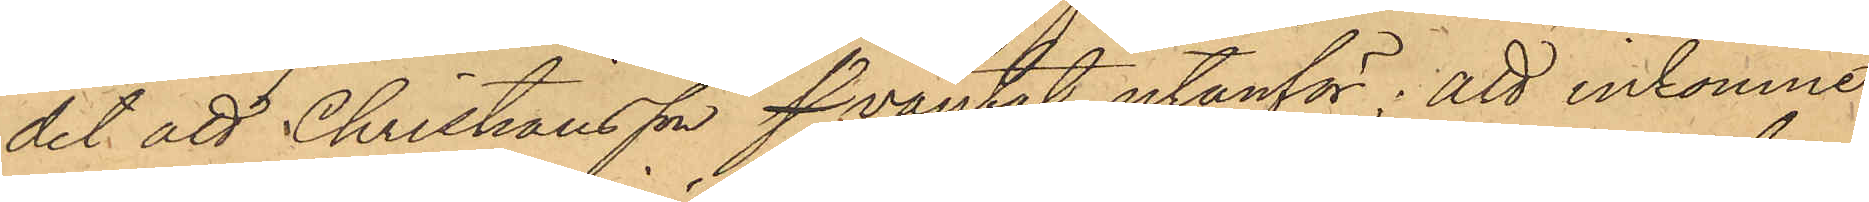det att Christiansson s väntat utanför; att inkomne
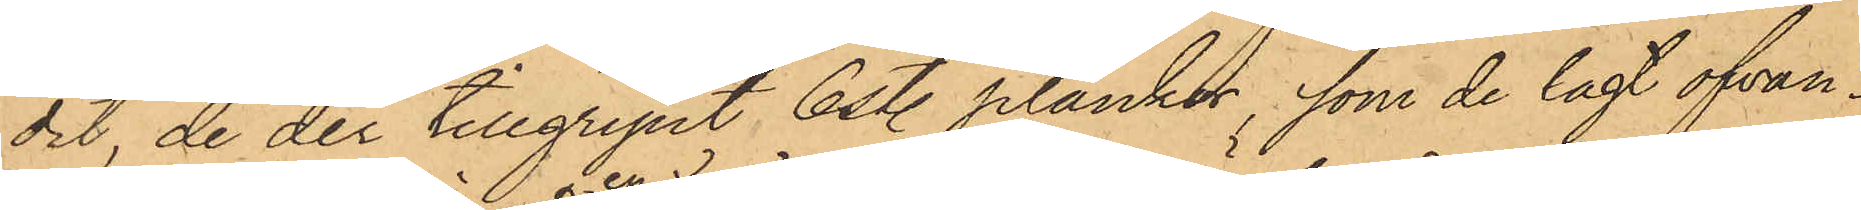dit, de der tillgripit 6 st. plankor, som de lagt ofvan¬
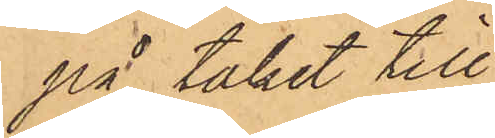på taket till
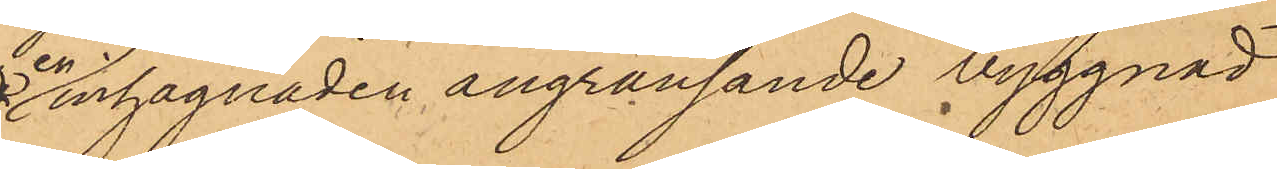en inhägnaden angränsande byggnad
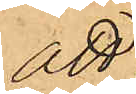att
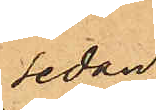sedan
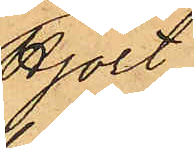Hjort
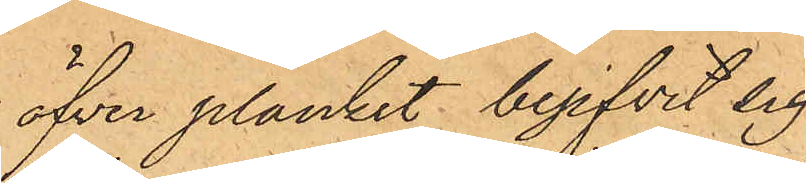öfver planket begifvit sig
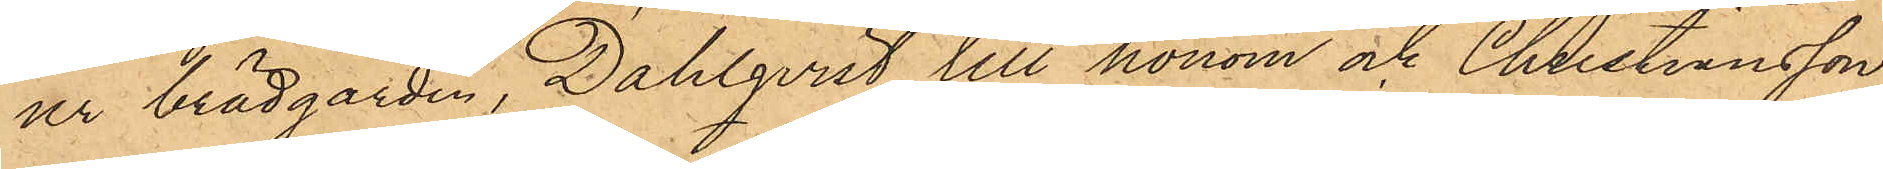ur brädgården, Dahlqvist till honom och Christiansson
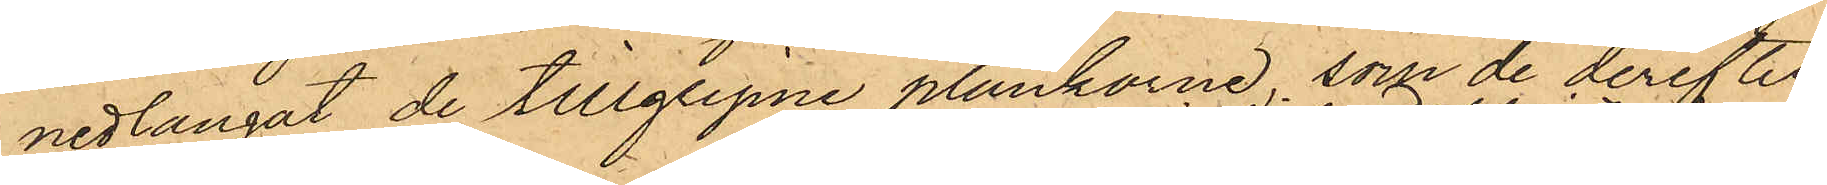nedlangat de tillgripne plankorna, som de derefter
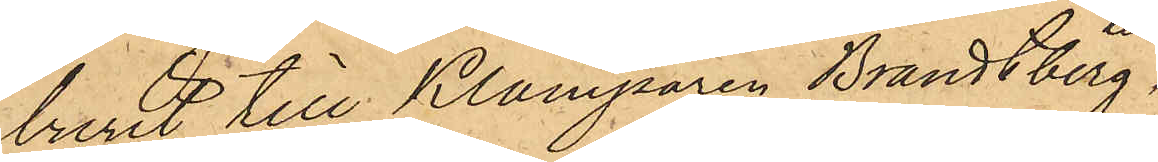burit till Klamparen Brandtberg,
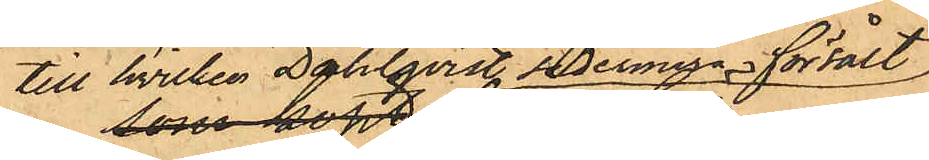till hvilken Dahlqvist sedermera försålt
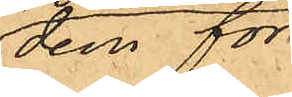dem för
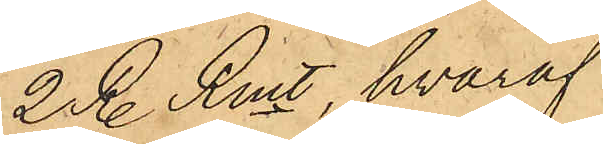2 R. Rmt, hvaraf
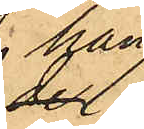han
